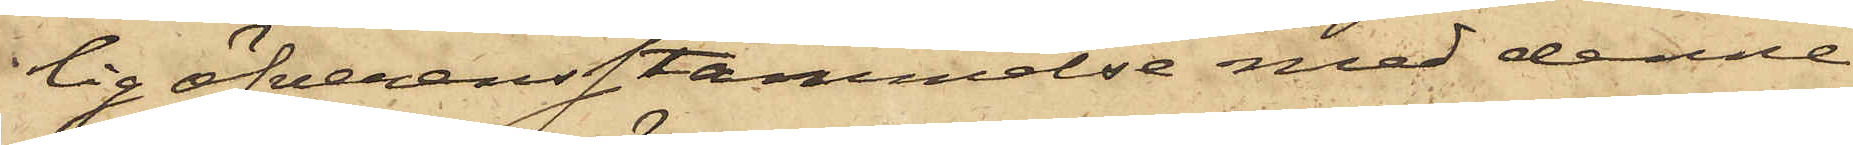lig öfverensstämmelse med denne
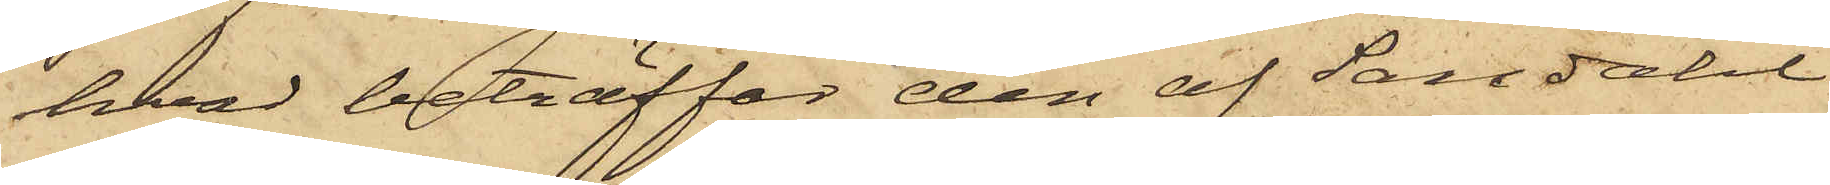hvad beträffar den af Sandahl
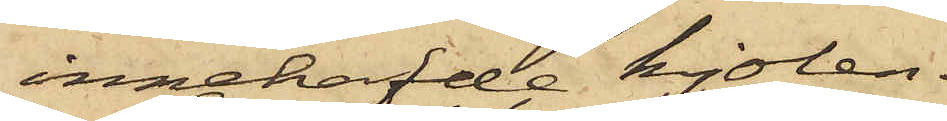innehafde kjolen.
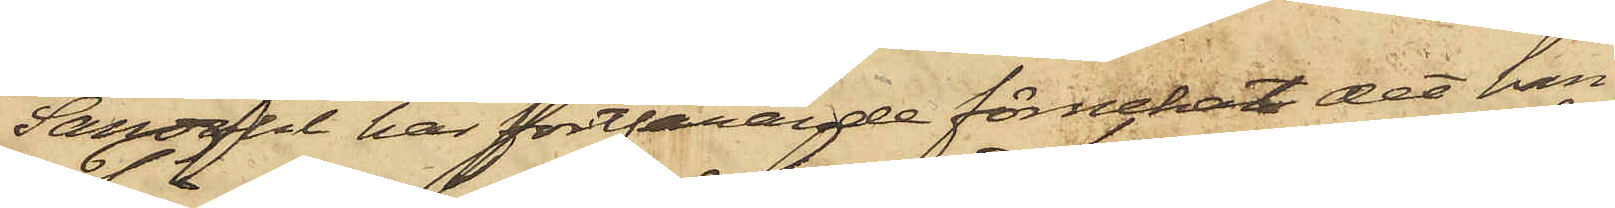Sandahl har fortfarande förnekat det han
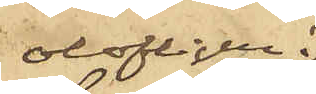olofligen
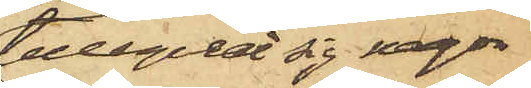tillegnat sig någon
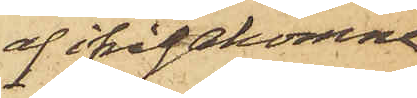af ifrågakomne
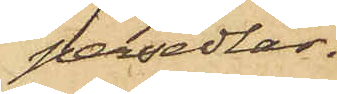persedlar.
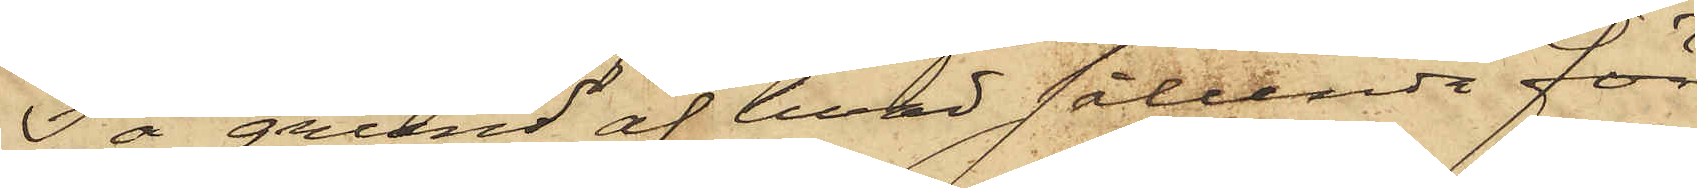På grund af hvad sålunda före¬
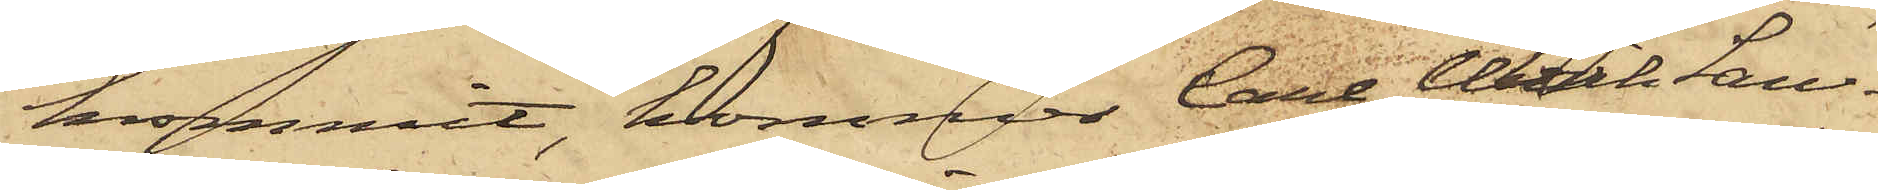kommit, kommer Carl Ulrik San¬
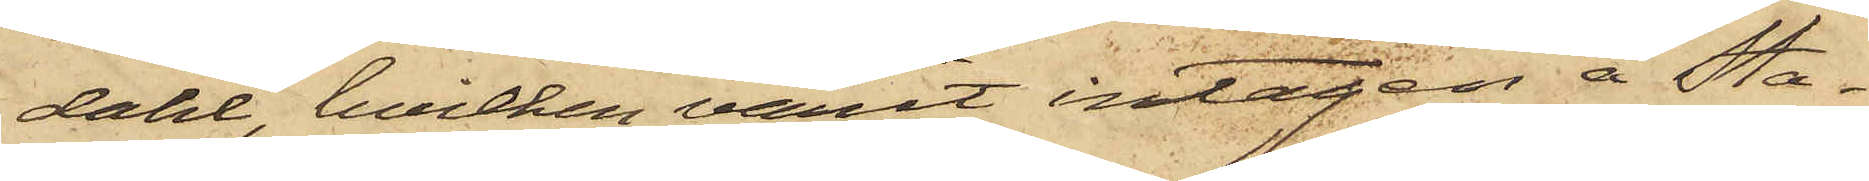dahl, hvilken varit intagen å Sta¬
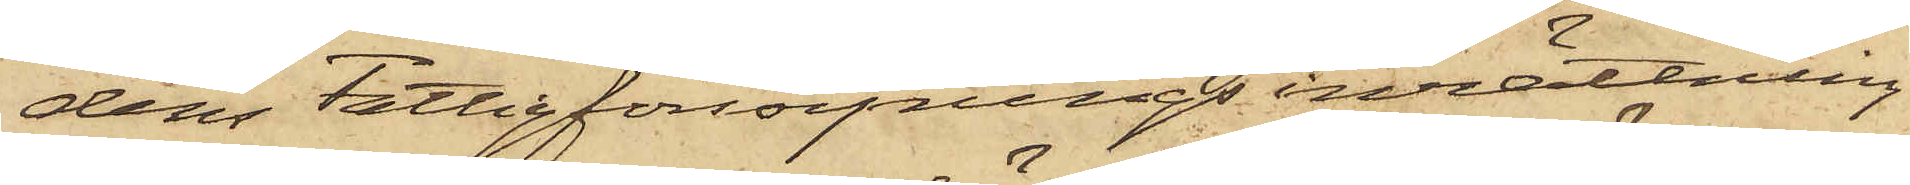dens Fattigförsörjningsinrättning
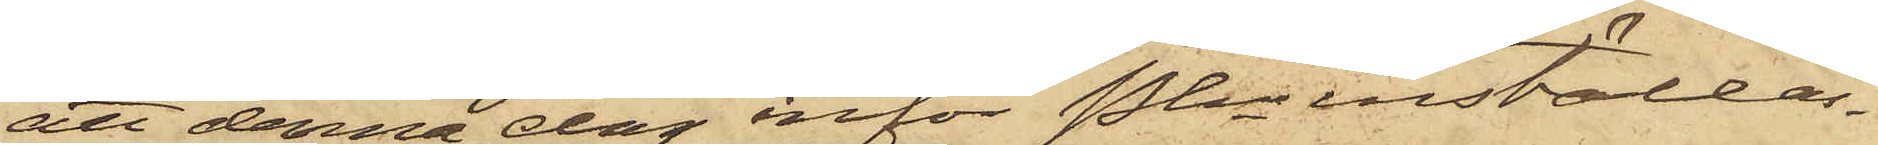att denna dag inför Pkn inställas.
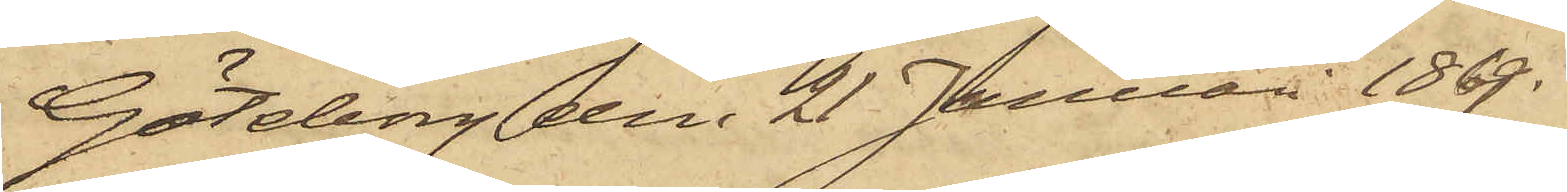Göteborg den 21 Januari 1869.
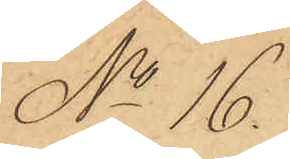No 16.
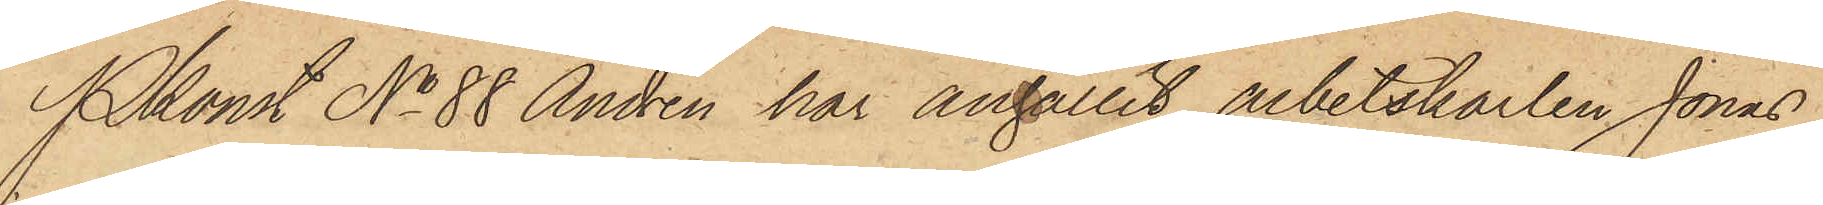Pkonst No 88 Andrén har anhållit arbetskarlen Jonas
